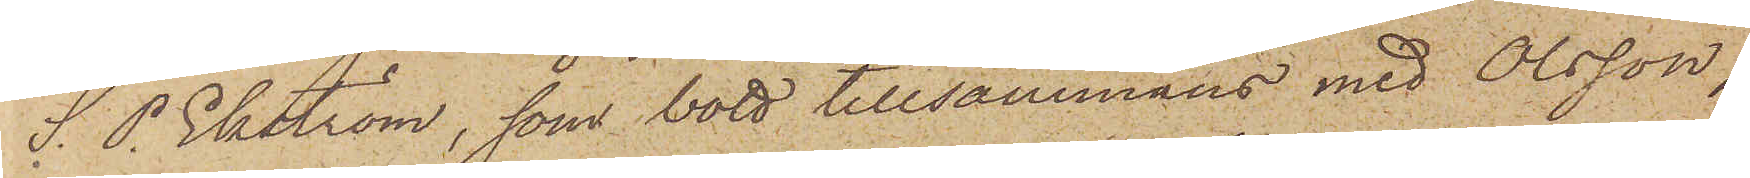S. P. Ekström, som bott tillsammans med Olsson,
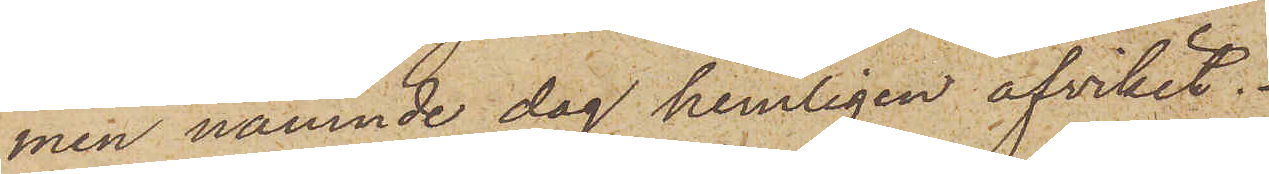men nämnde dag hemligen afvikit.
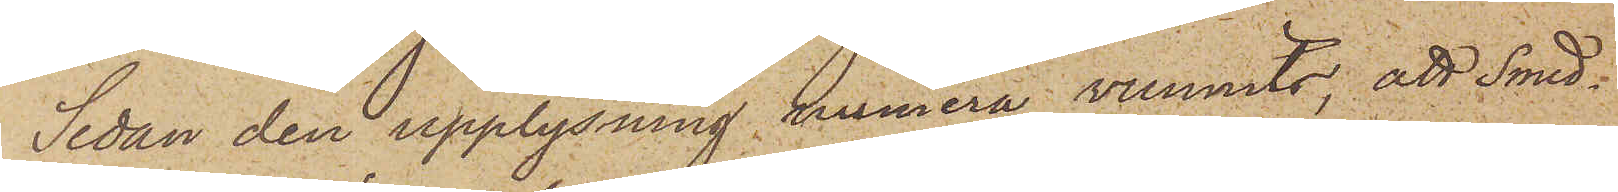Sedan den upplysning numera vunnits; att Smed¬
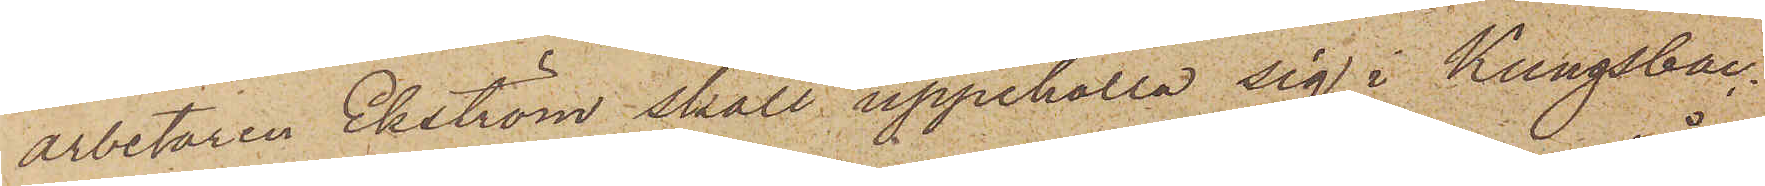arbetaren Ekström skall uppehålla sig i Kungsbac¬
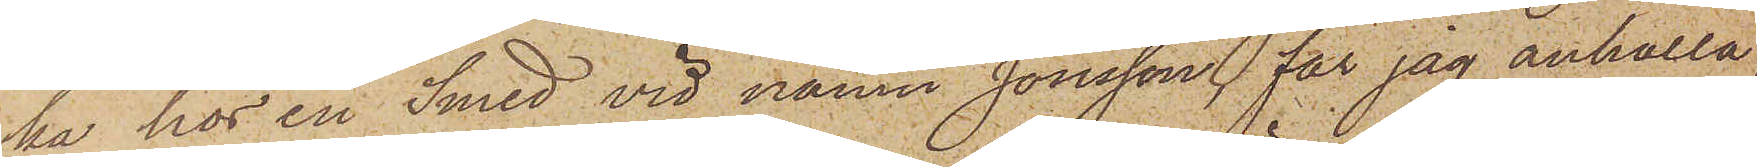ka hos en Smed vid namn Jonsson, får jag anhålla
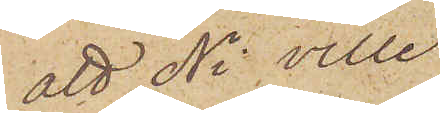att Ni ville
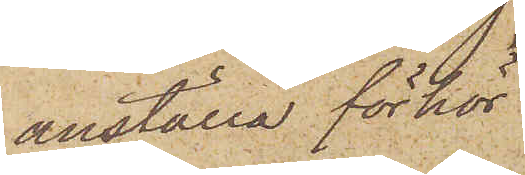anställa förhör
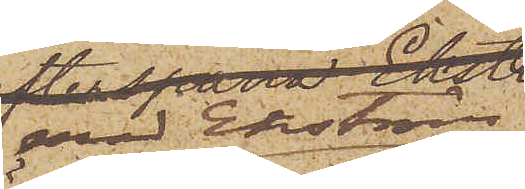med Ekström
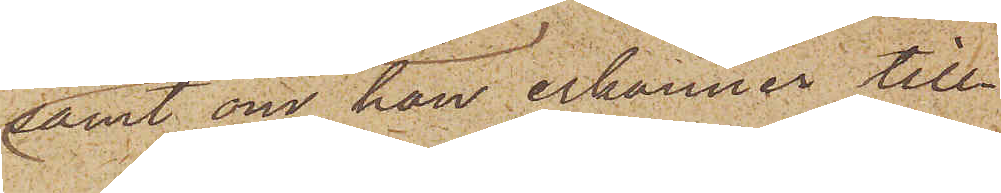samt om han erkänner till¬
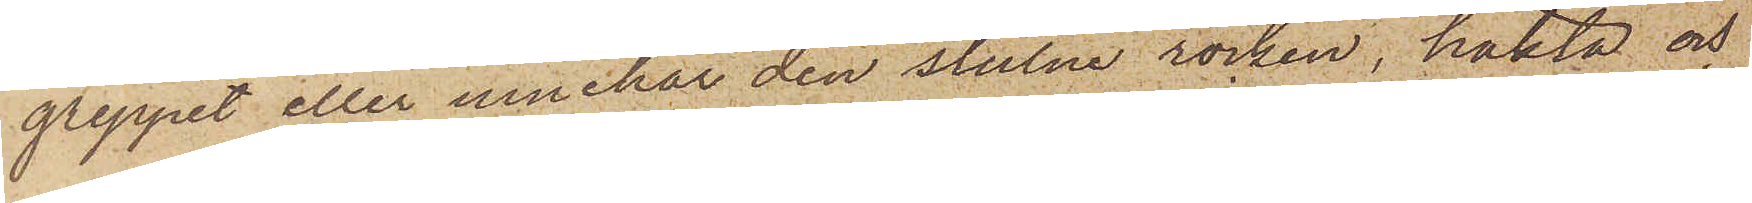greppet eller innehar den stulne rocken, häkta och
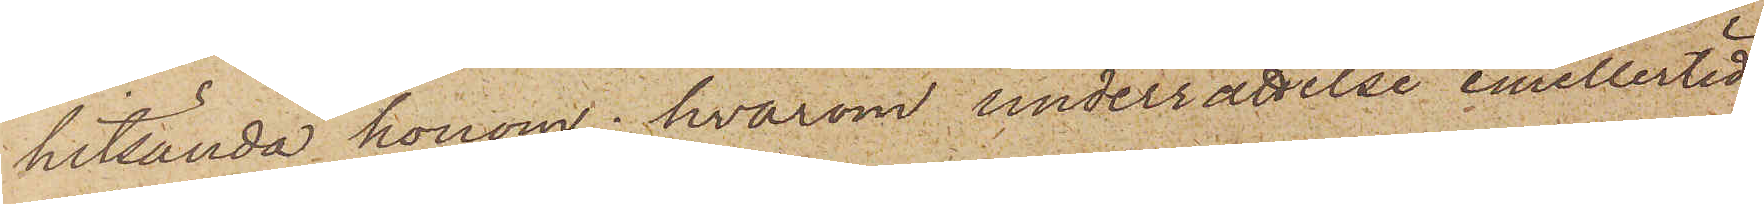hitsända honom, hvarom underrättelse emellertid
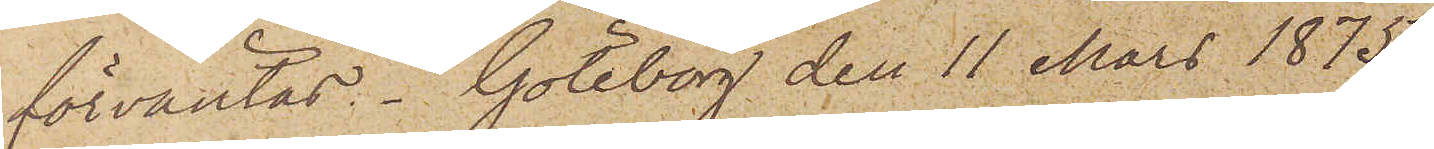förväntas. Göteborg den 11 Mars 1875.
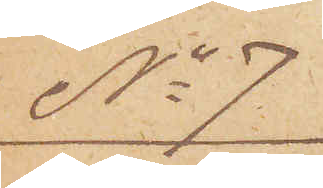No 7.
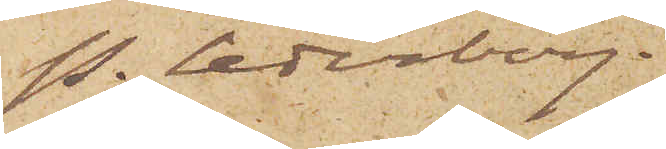P. Cederborg.
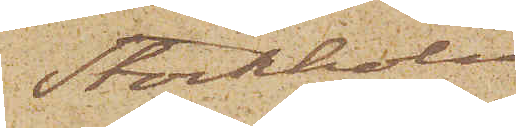Stockholm
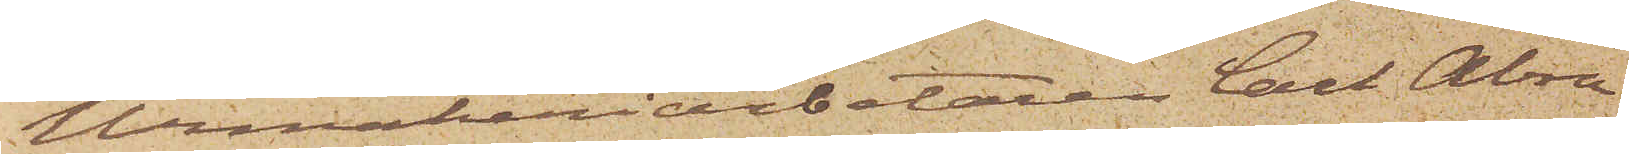Urmakeriarbetaren Carl Abra¬
